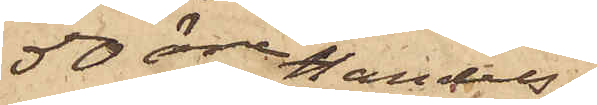50 öre. Handels¬
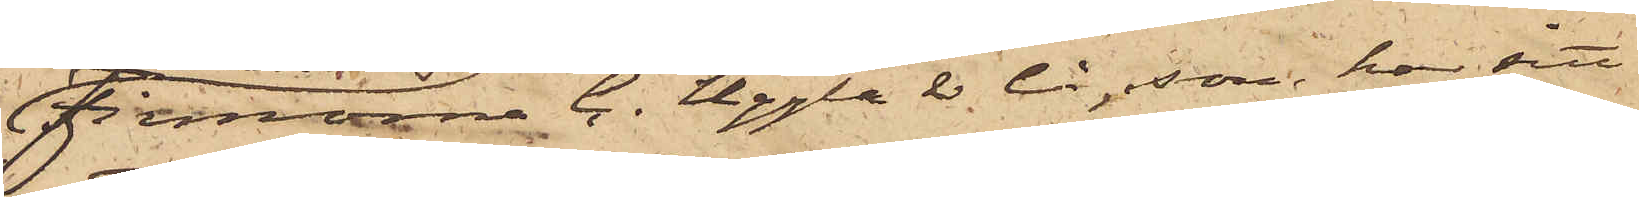firmorna C. Uggla & Co, som har sitt
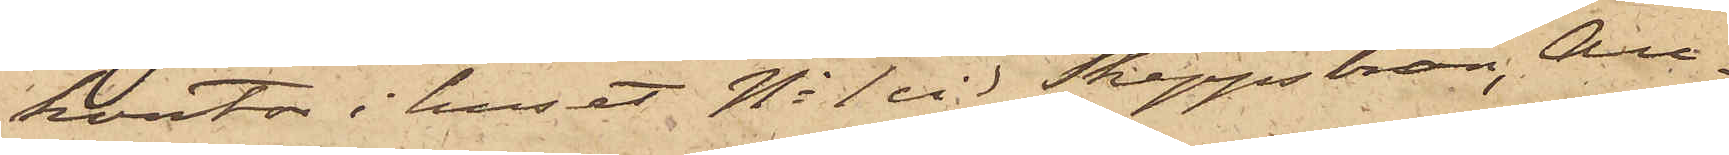kontor i huset No 1 vid Skeppsbron, Au¬
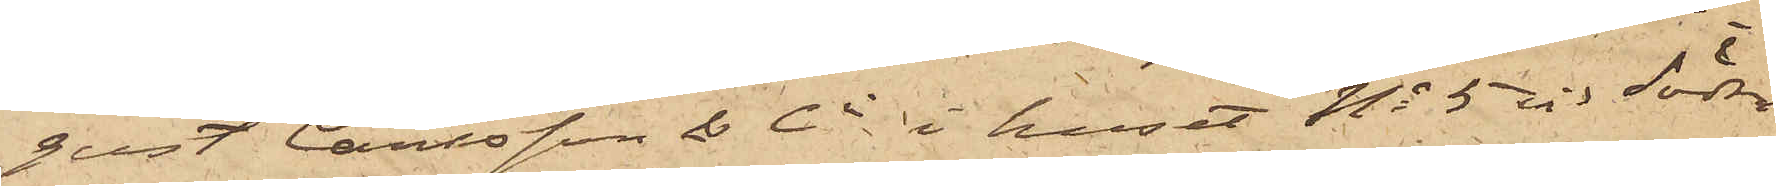gust Carlsson & Co i huset No 5 vid Södra
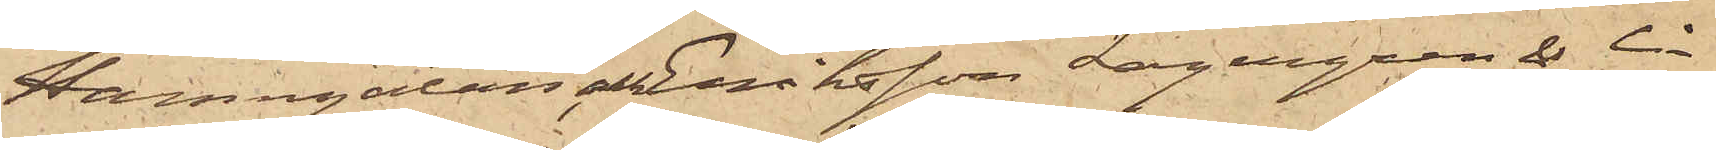Hamngatan, Eriksson Lagergren & Co
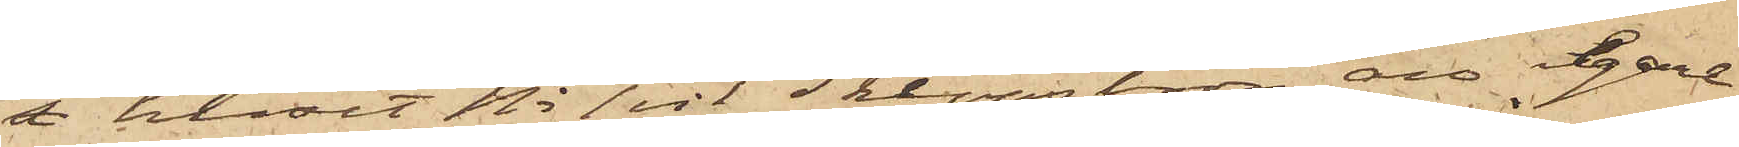i huset No 1 vid Skeppsbron, äro egare
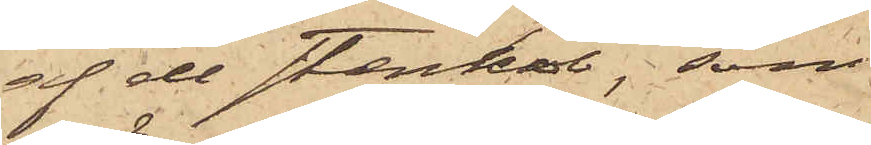af den stenkol, som
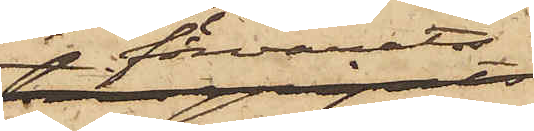förvarats i 
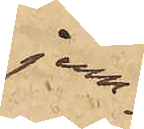jern¬
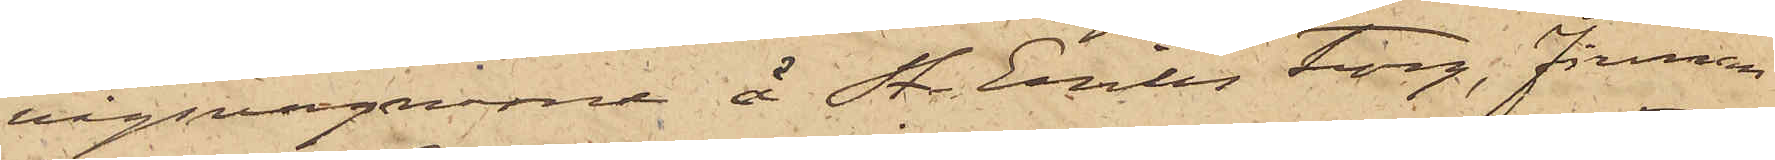vägsvagnarne å St. Eriks torg, firman
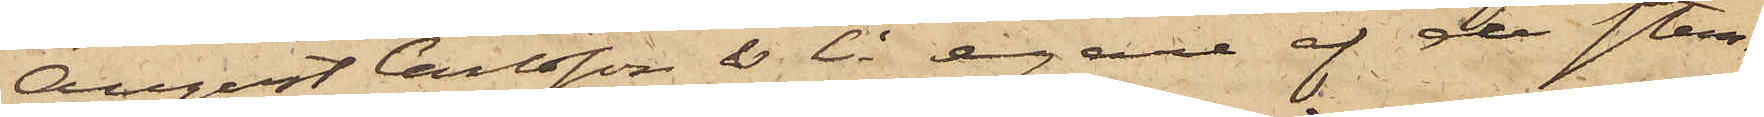August Carlsson & Co egare af den sten¬
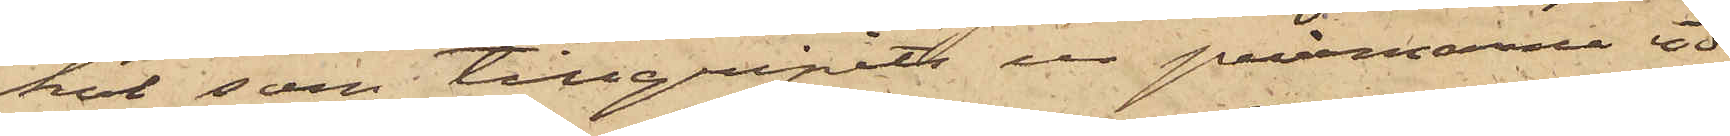kol, som tillgripits ur pråmarna vid
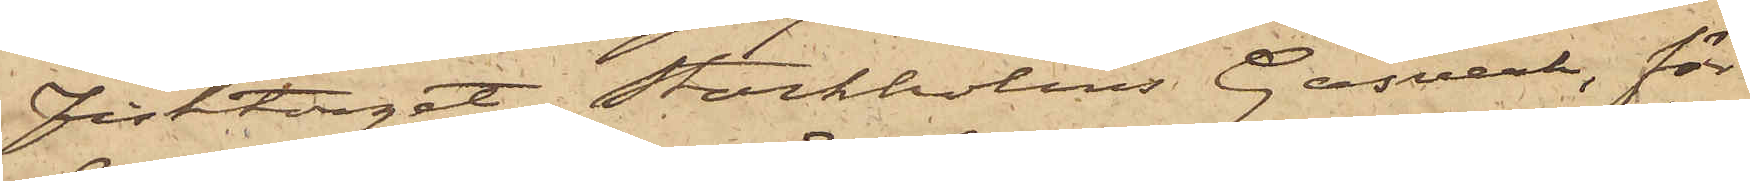Fisktorget, Stockholms Gasverk, för
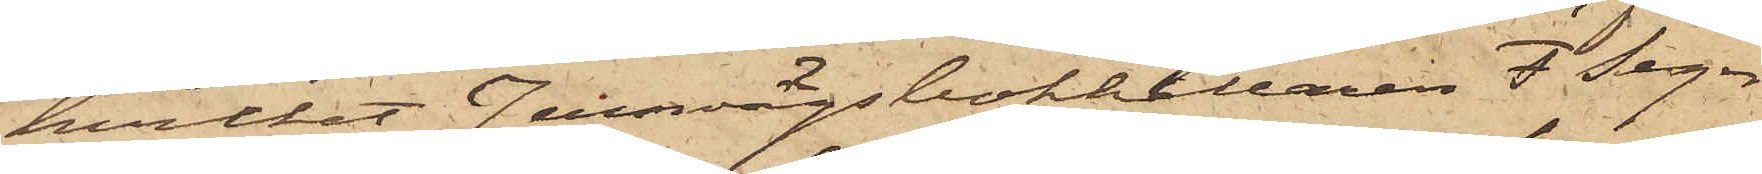hvilket Jernvägsbokhållaren F. Lager¬
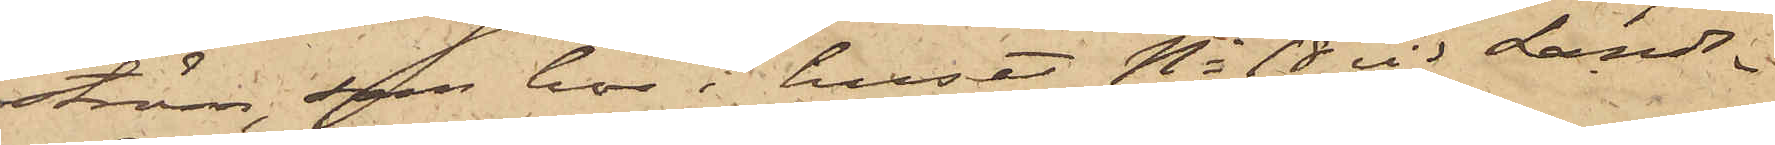ström, som bor i huset No 18 vid Lands¬
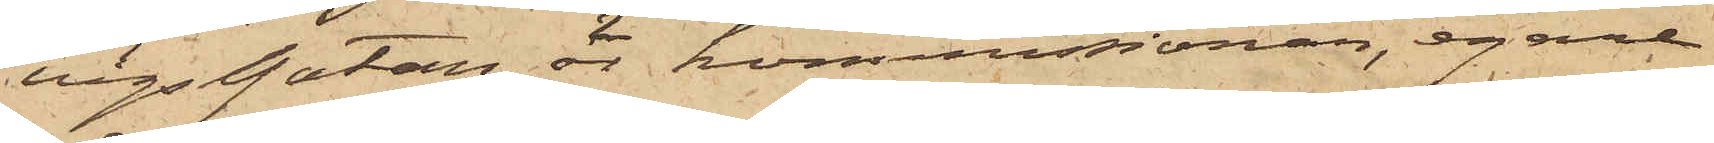vägsgatan är kommissionär, egare
